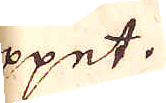öppet.
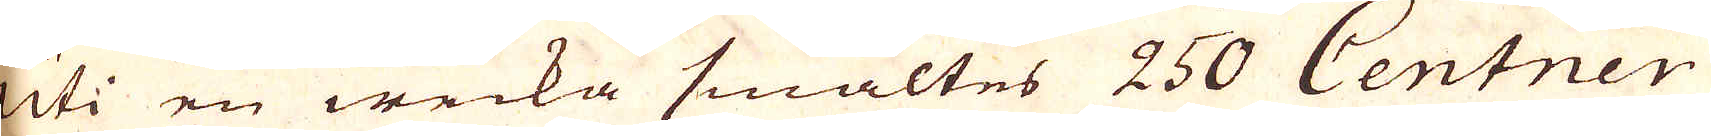Uti en wecka smältes 250 Centner
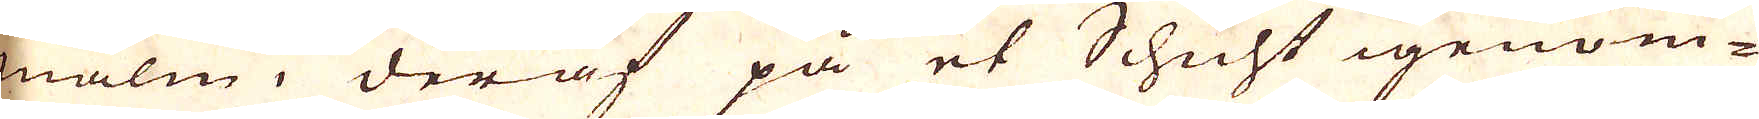malm, deraf på et Schicht igenom-
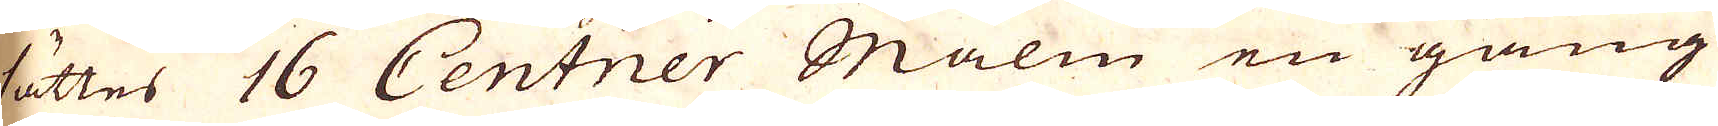sättes 16 Centner Malm en gång
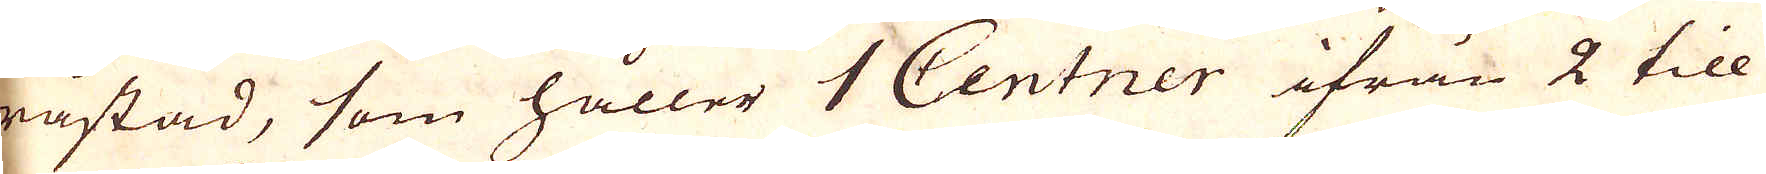råstad, som håller 1 Centner ifrån 2 till
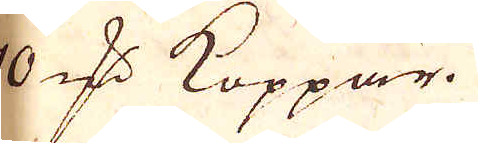10 qv:r Koppar.
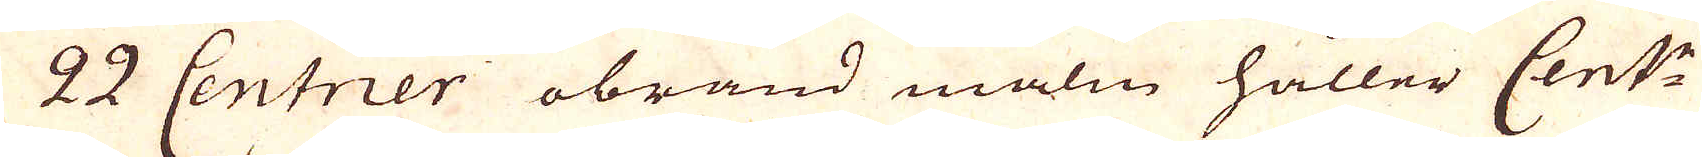22 Centner obränd malm håller Cent:r
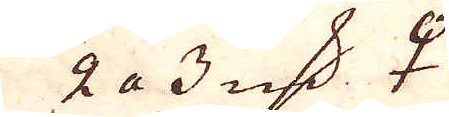2 a 3 qv:r ♀
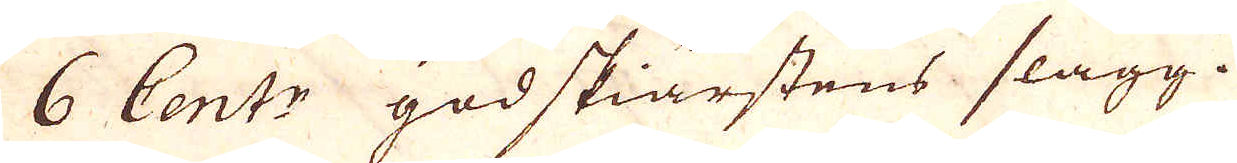6 Centr godskiärstens slagg.
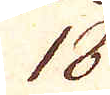18.
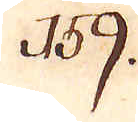159.
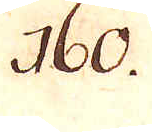160.
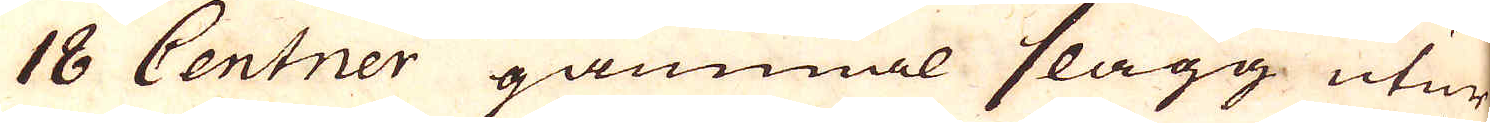18 Centner gammal slagg utur
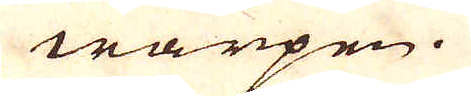warpen.
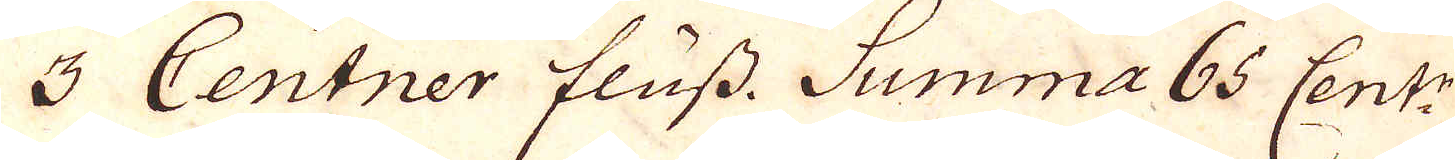3 Centner fluss. Summa 65 Cent:r
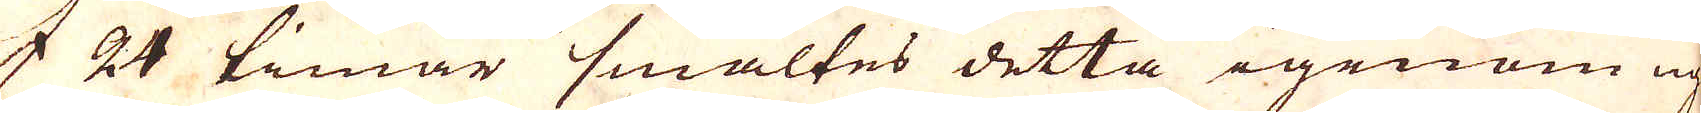I 24 timar smältes detta igenom ug-
